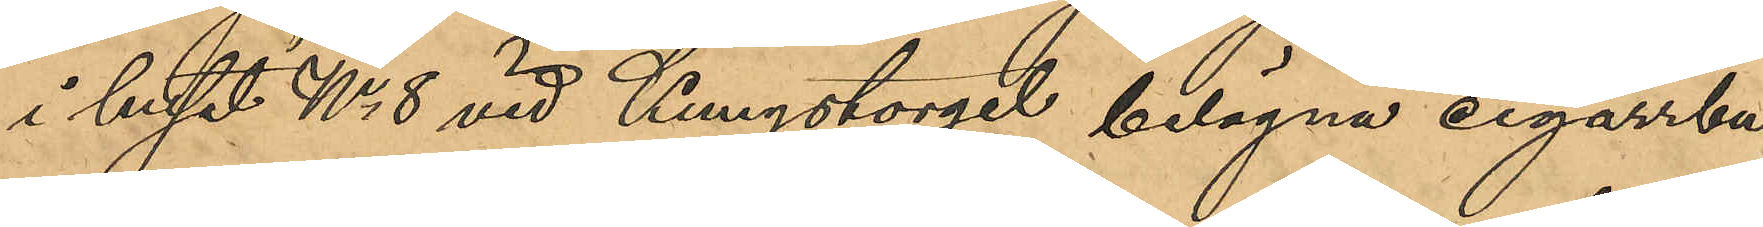i huset No 8 vid Kungstorget belägna cigarrbu¬
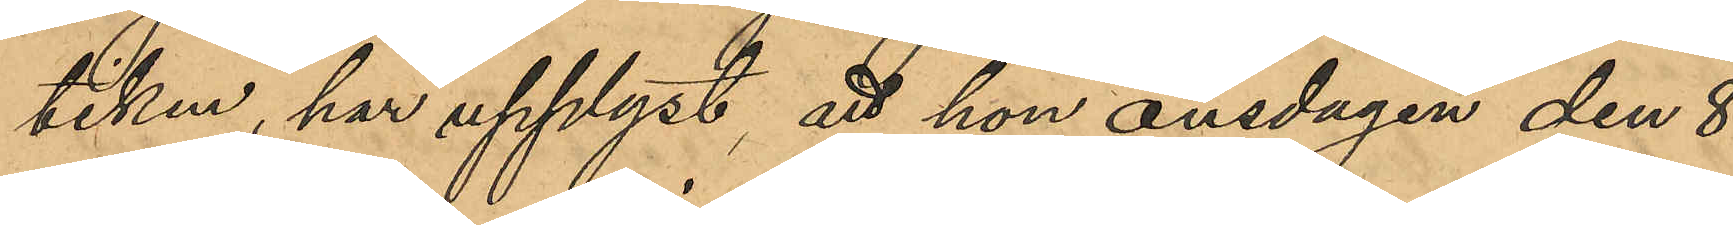tiken, har upplyst att hon onsdagen den 8
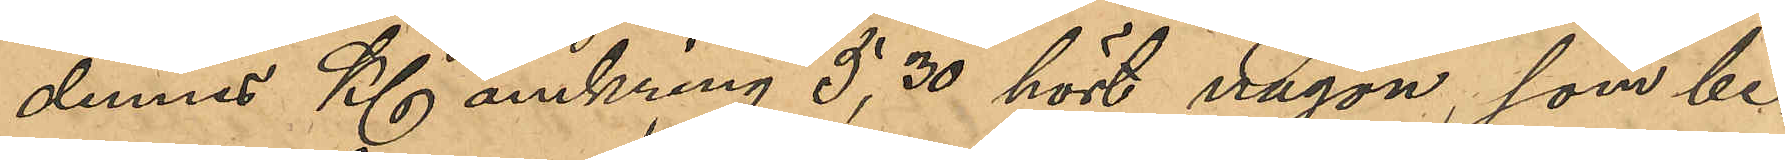dennes Kl omkring 5,30 hört någon, som be¬
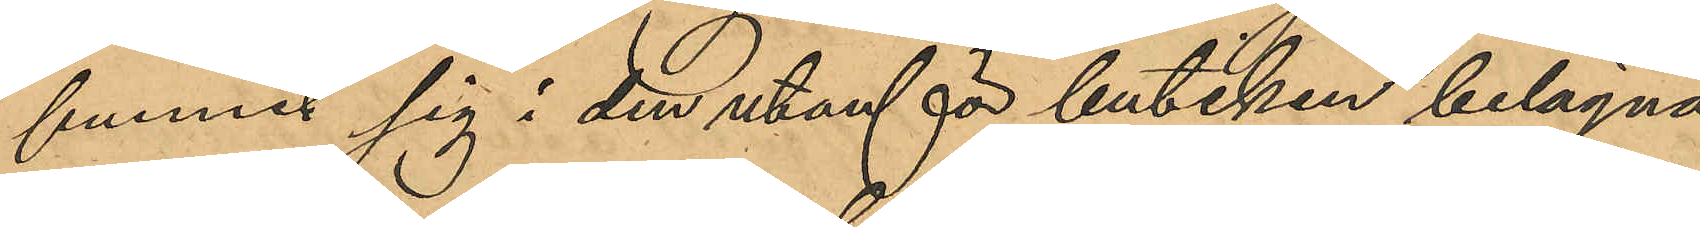funnit sig i den utanför butiken belägna
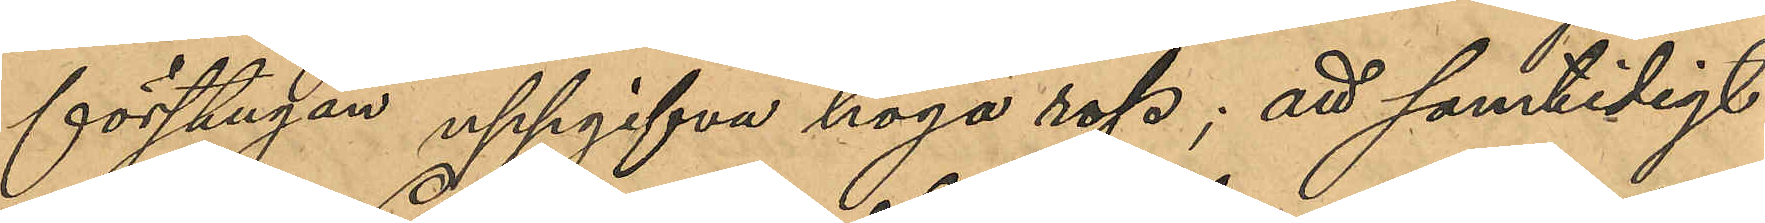förstugan uppgifva höga rop; att samtidigt
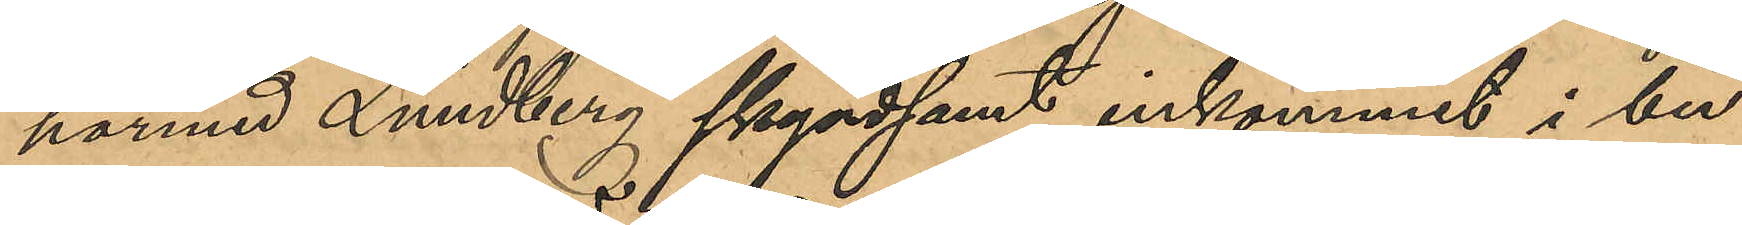härmed Lundberg skyndsmt inkommit i bu¬
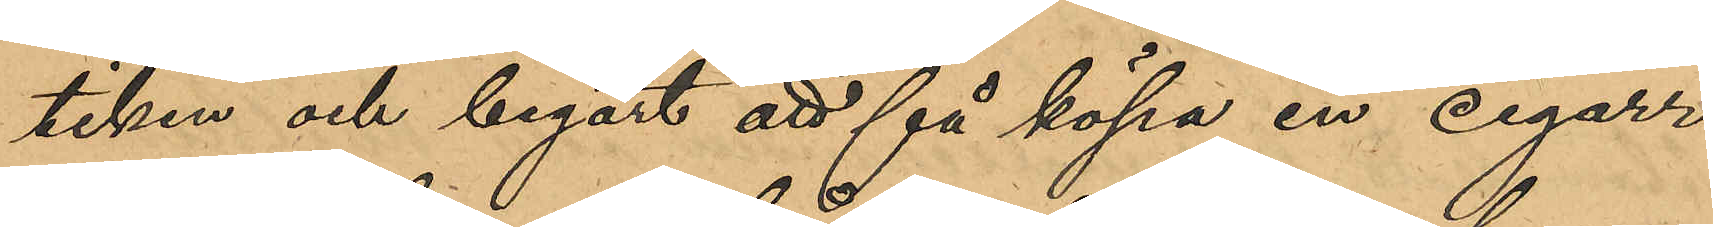tiken och begärt att få köpa en cigarr; 
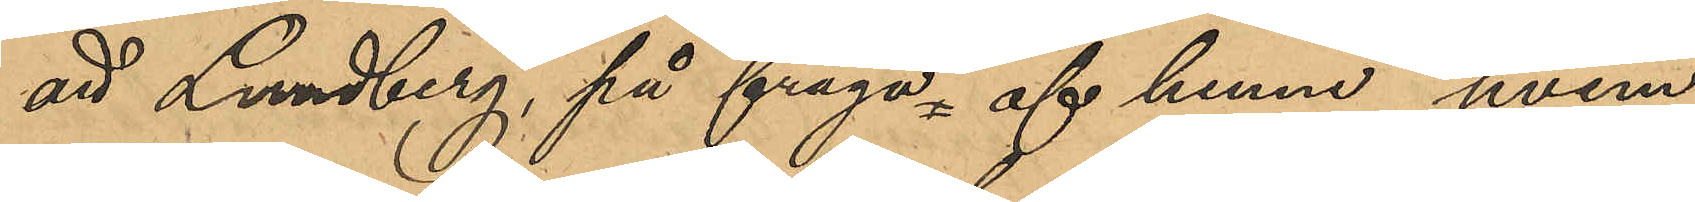att Lundberg på fråga af henne, hvem
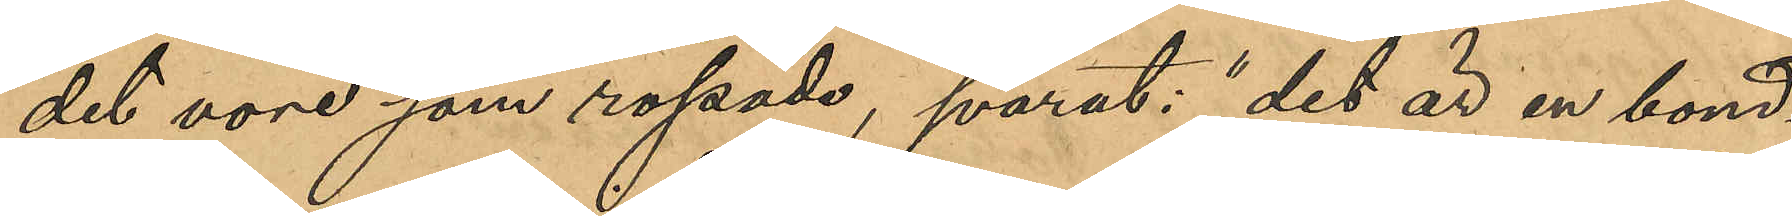det vore som ropade, svarat "det är en bond¬
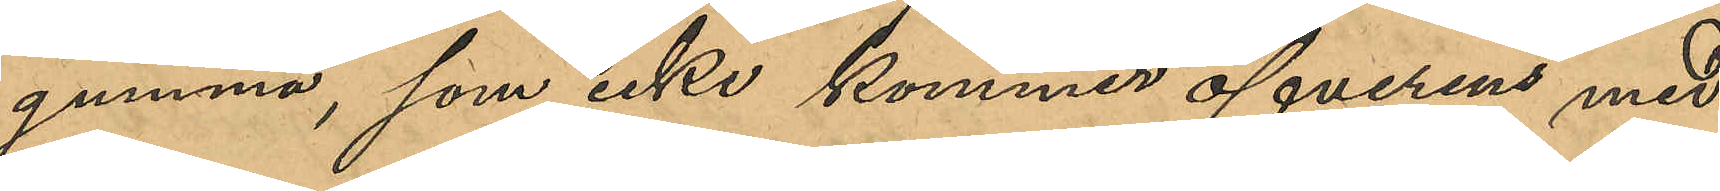gumma, som icke kommer överens med
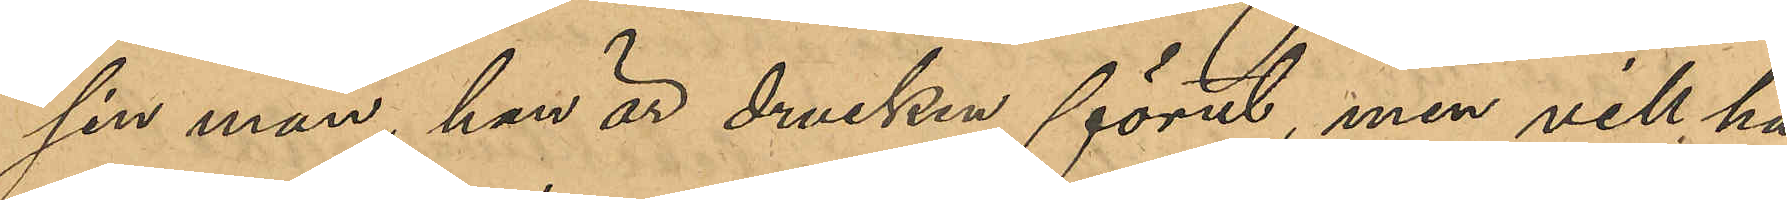sin man,han är drucken förut, men vill ha
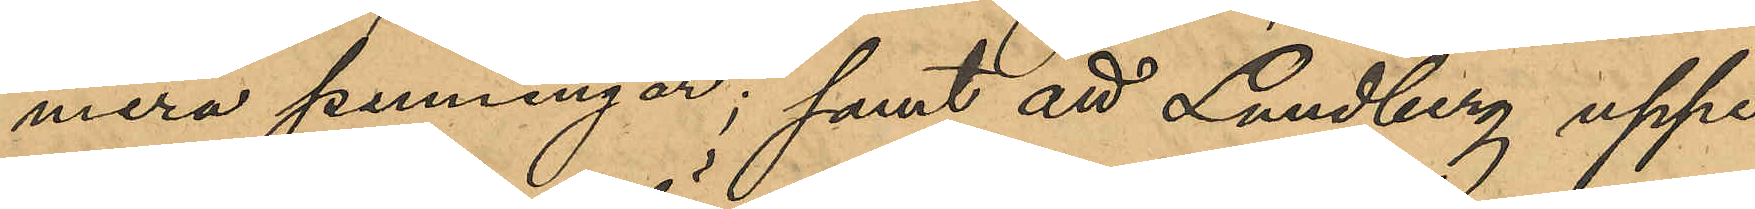mera penningar; samt att Lundberg uppe¬
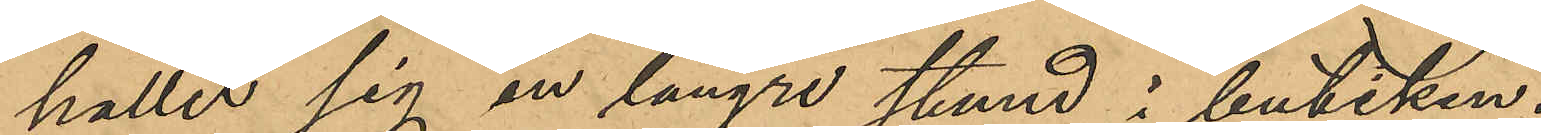hållit sig en längre stund i butiken.
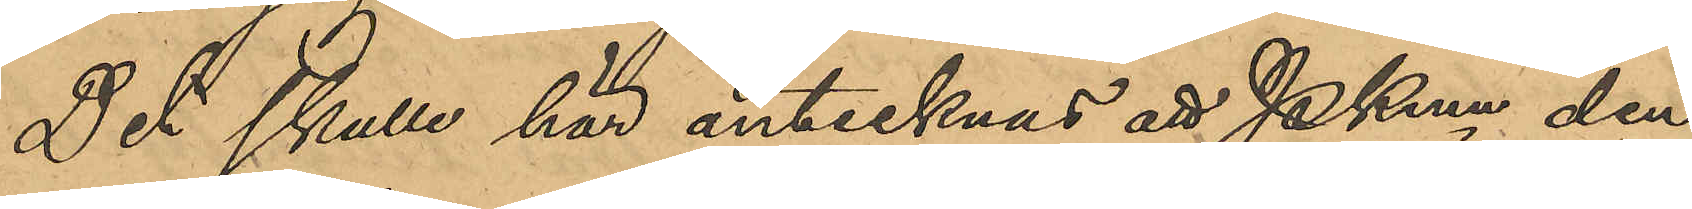Det skulle här antecknas att Pkmn den
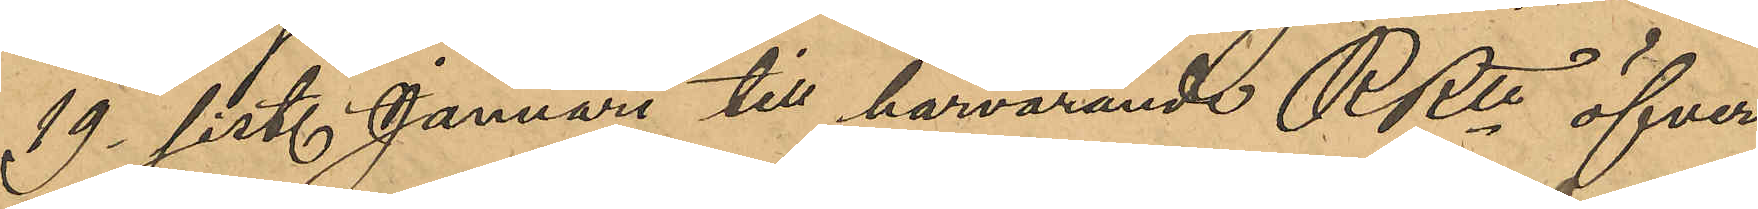19 sist. Januari till härvarande RRtt öfver¬
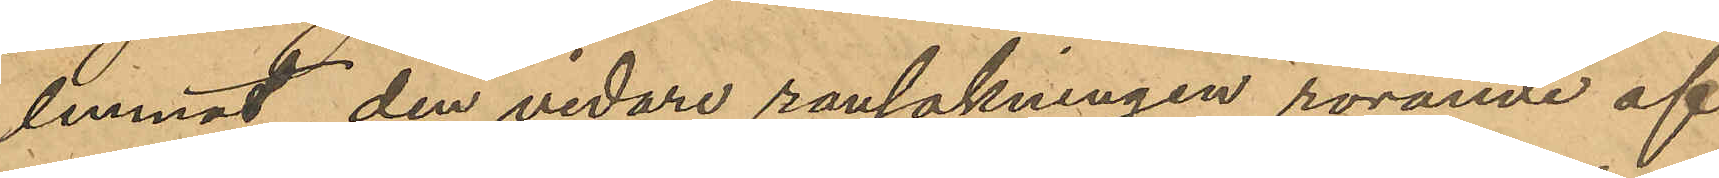lemnat den vidare rannsakningen rörande af
